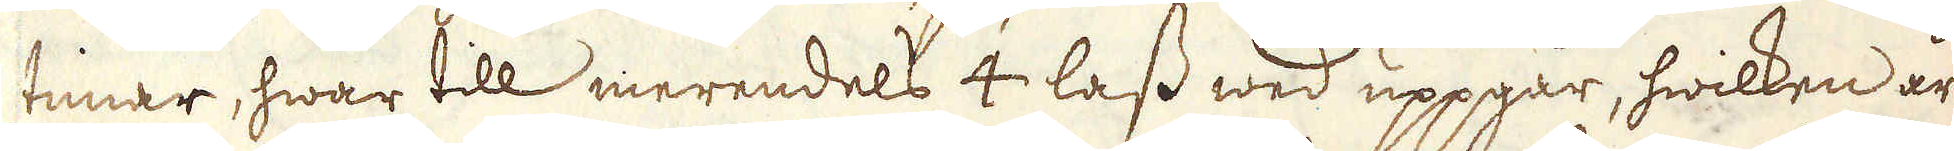timar, hwar till merendels 4 lass wed uppgår, hwilken är
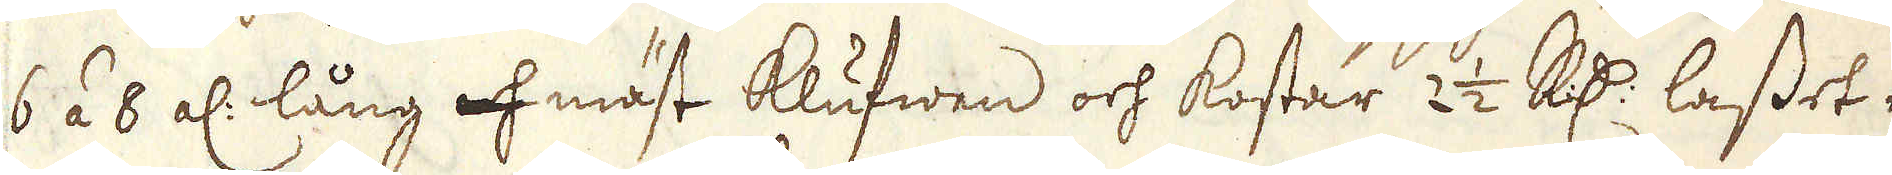6 á 8 al: lång af mäst klufwen och kostar 2 1/2 R:dr lasset ef-
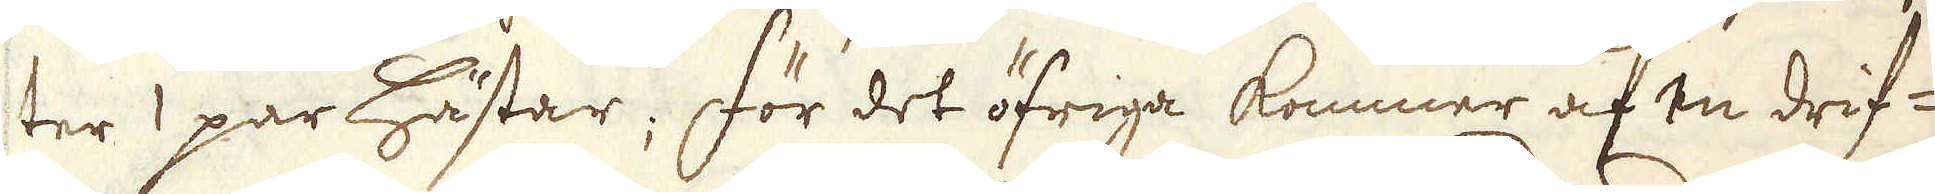ter 1 par hästar; för det öfriga kommer af en drif-
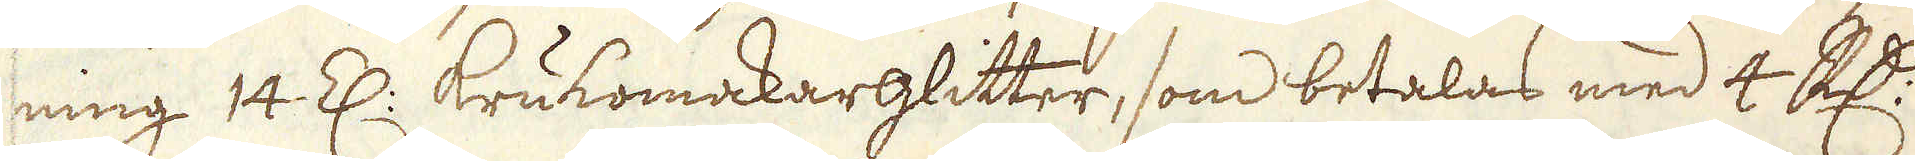ning 14 Z: krukomakarglitter, som betalas med 4 R:dr
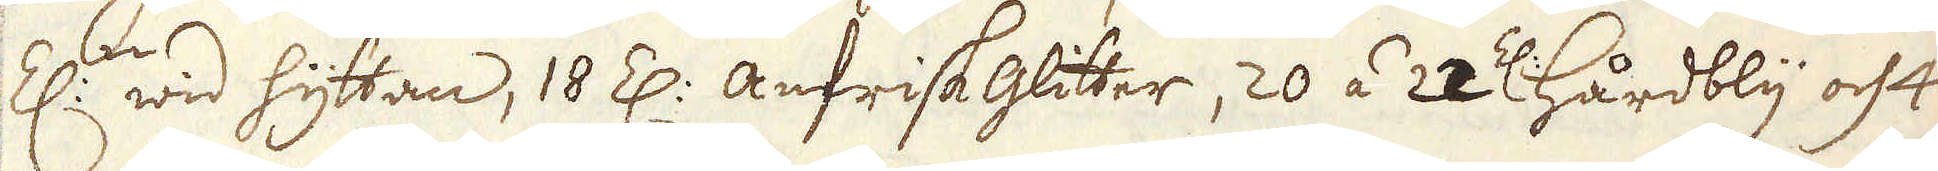Z:n wid hyttan, 18 Z:n anfrisk glitter, 20 á 22 Z: hårdbly och 4
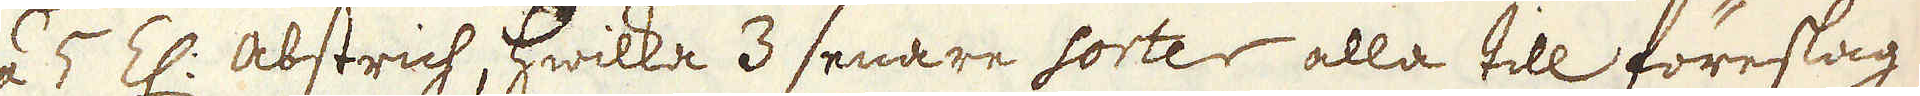á 5 Z: abstrich, hwilka 3 senare sorter alla till föreslag
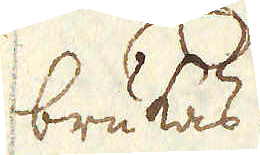brukas.
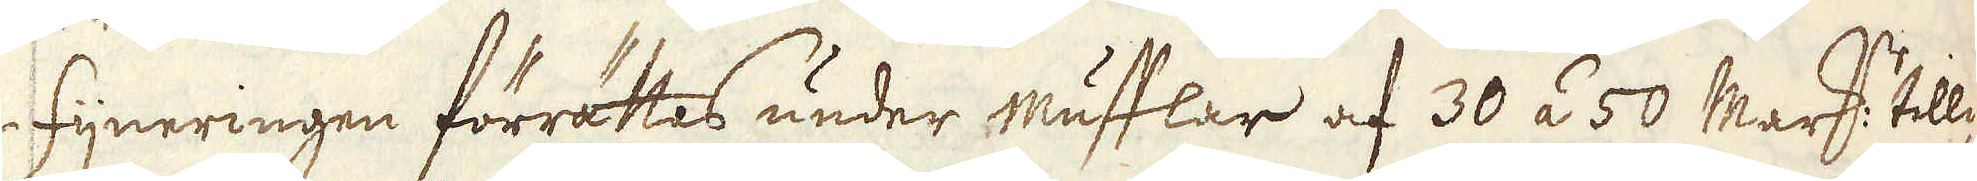Fijneringen förrättas under mufflar af 30 á 50 marker tilli-
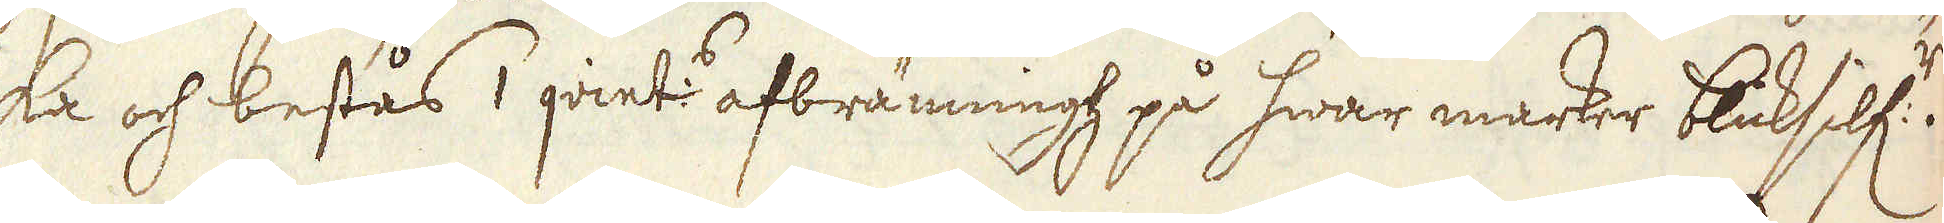ka och bestås 1 qvint:s afbränning på hwar marker blicksilf:r.
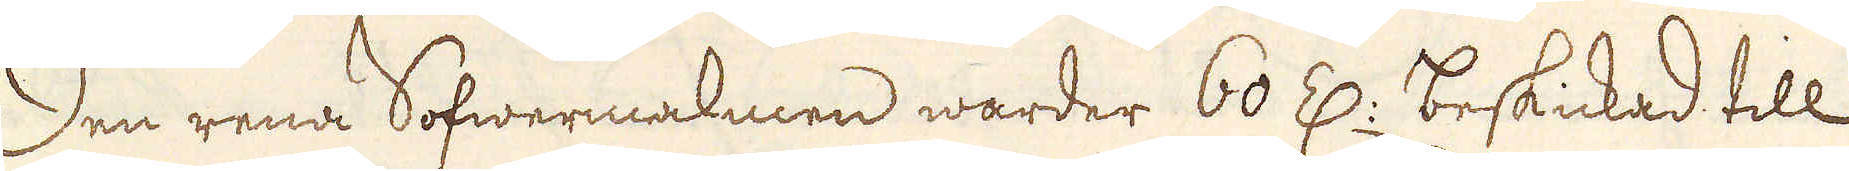Den rena Sofwermalmen warder 60 Z: beskickad till
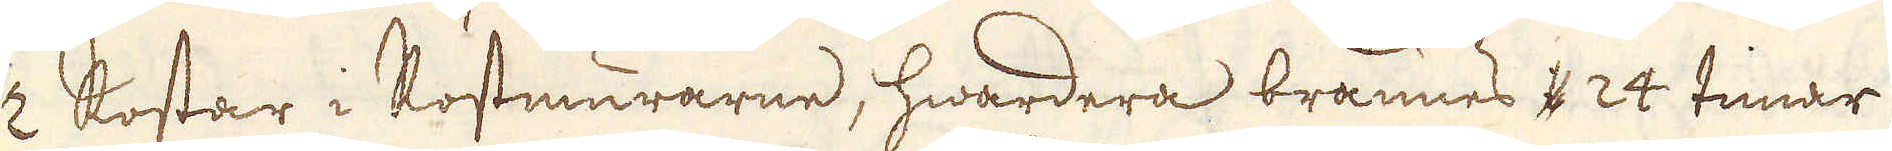2 Rostar i Rostmurarne, hwardera brännes i 24 timar
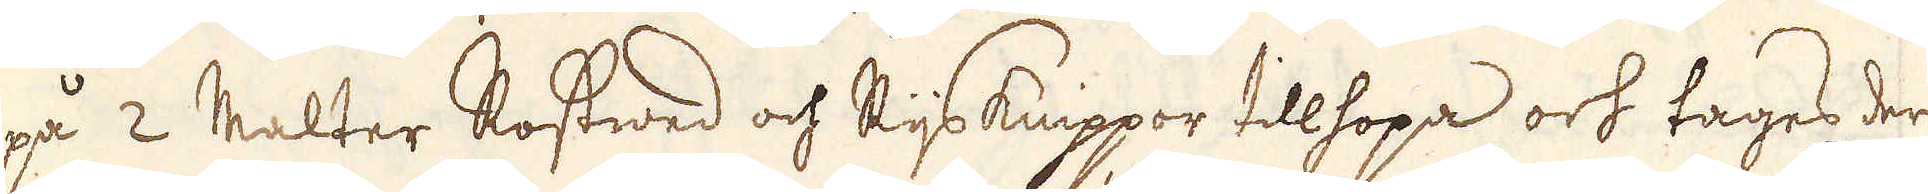på 2 Malter Rostwed och Rijs knippor tillhopa och tages der
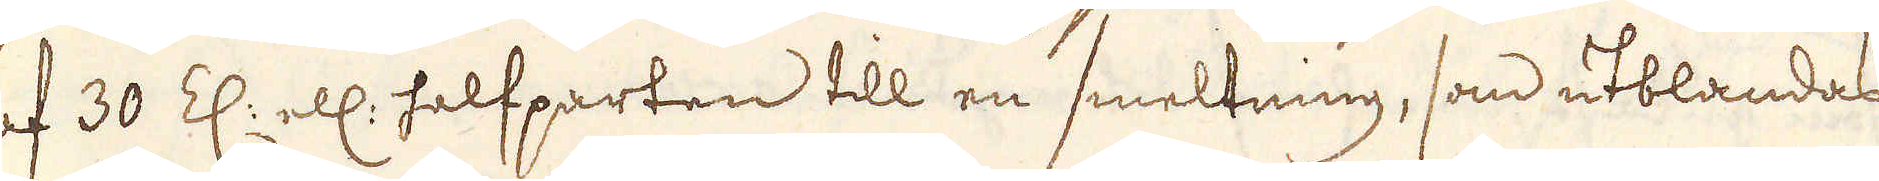af 30 Z: ell: halfparten till en smeltning, som utblandas
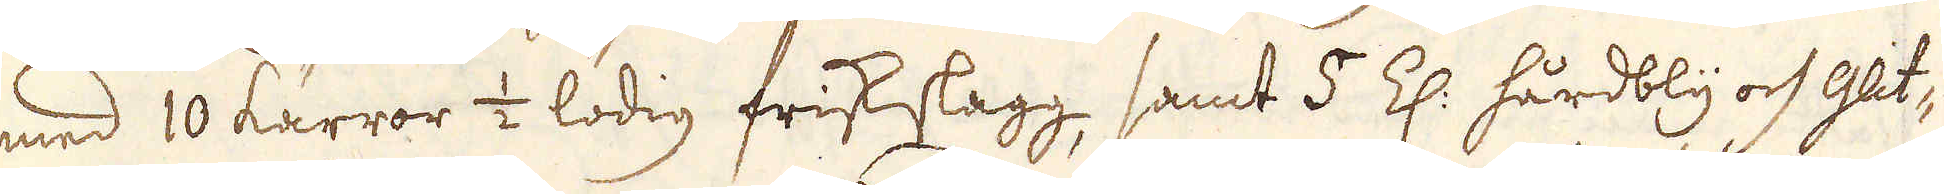med 10 kärror 1/2 lödig friskslagg, samt 5 Z: hårdbly och Glit-
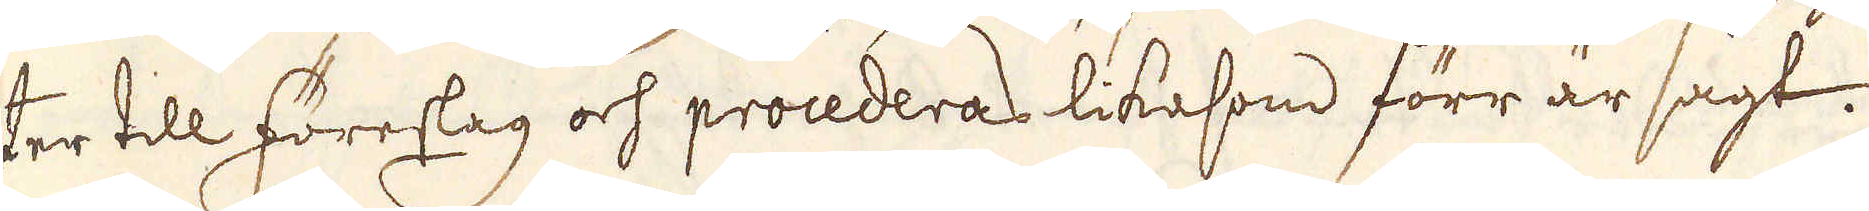ter till föreslag och procederas likasom förr är sagt.
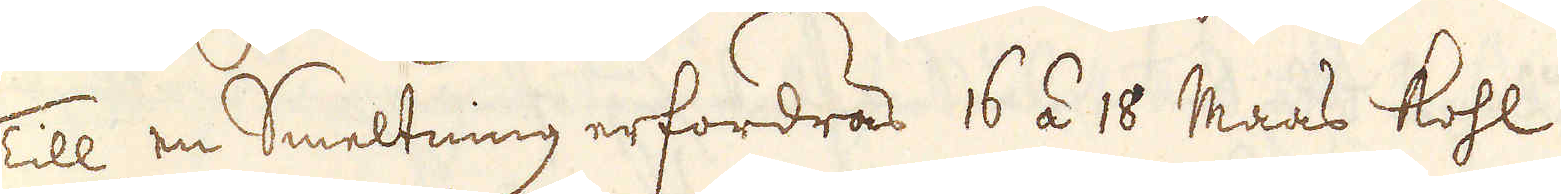Till en Smeltning erfordras 16 á 18 Maas kohl.
